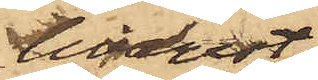hvarest
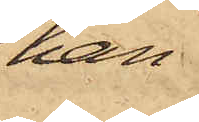han
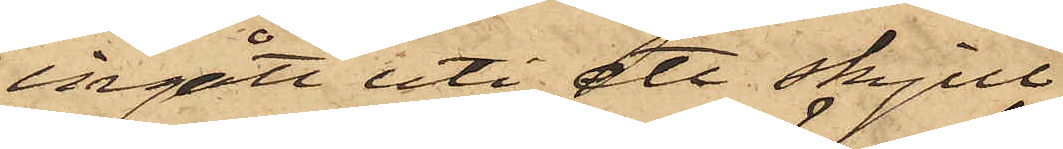ingått uti ett skjul,
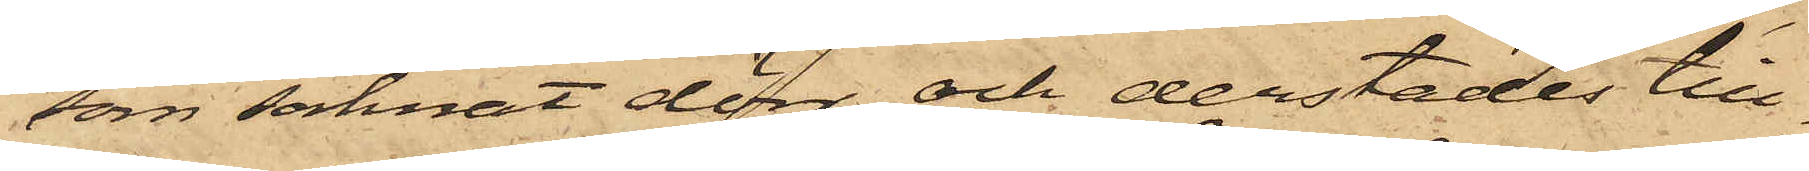som saknat dörr, och derstädes till¬
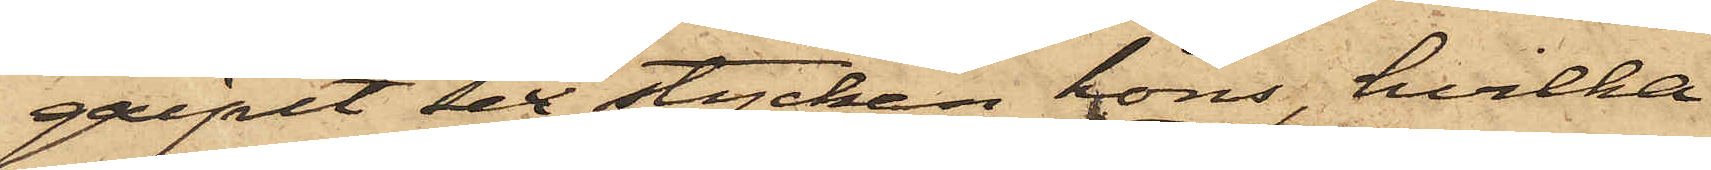gripit sex stycken höns, hvilka
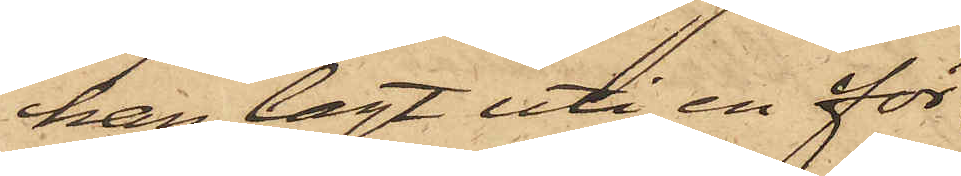han lagt uti en för
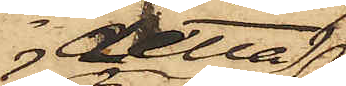detta
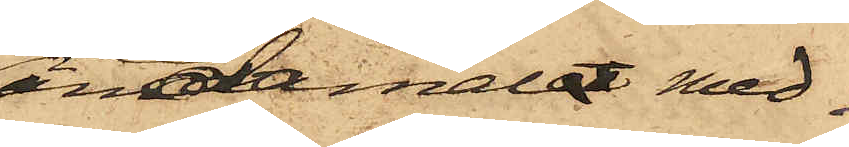ändamål med¬
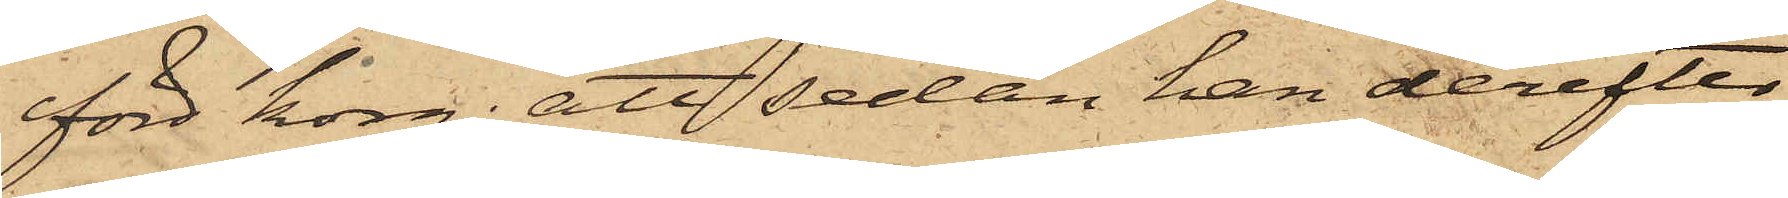förd korg; att sedan han derefter
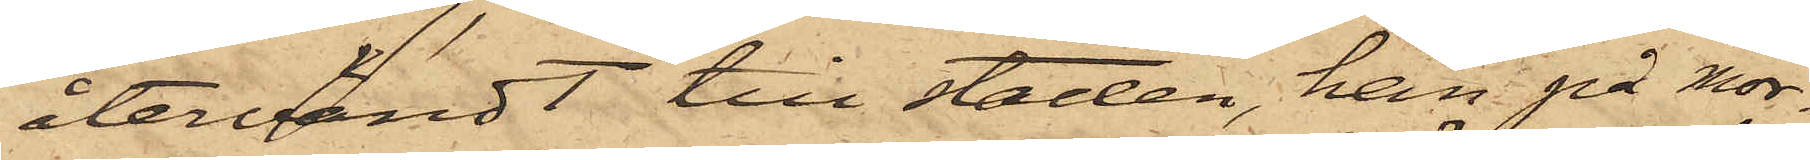återvändt till staden, han på mor¬
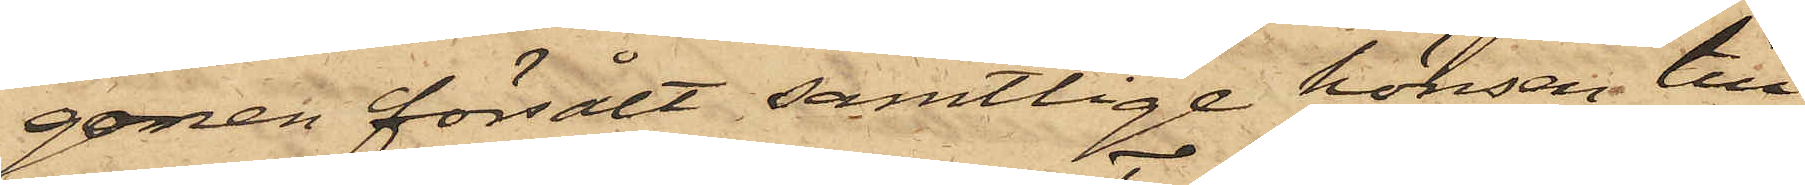gonen försålt samtlige hönsen till
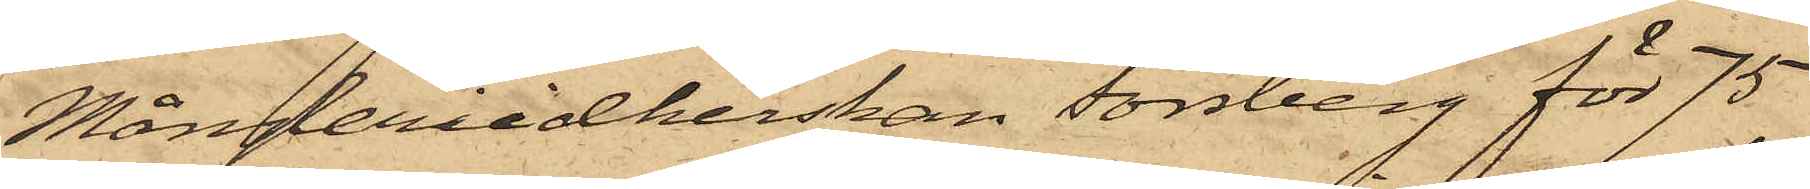Mångleriidkerskan Forsberg för 75
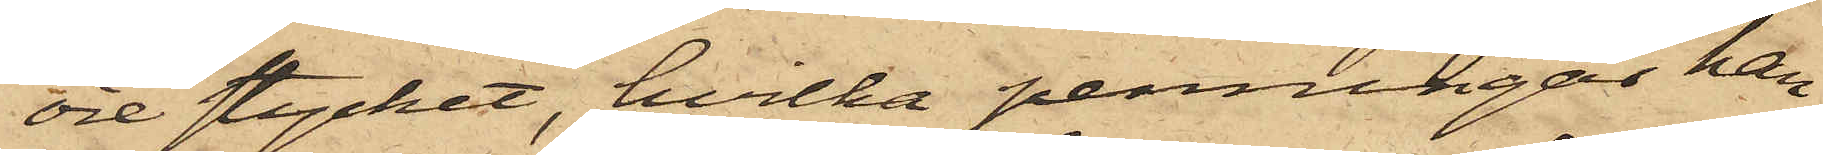öre stycket, hvilka penningar han
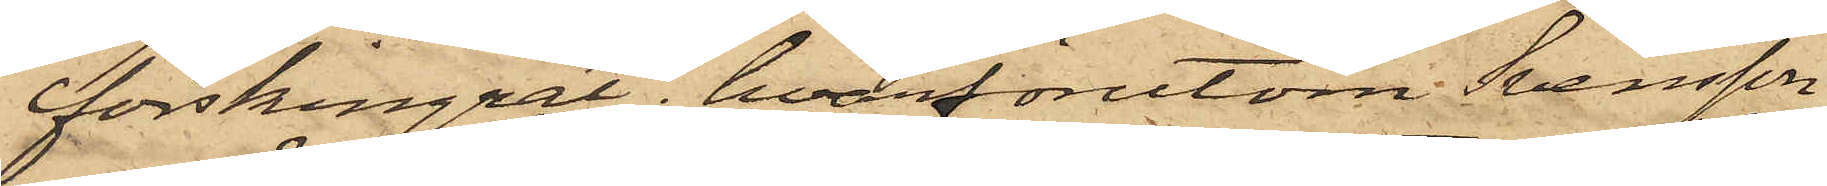förskingrat, hvarförutom Svensson
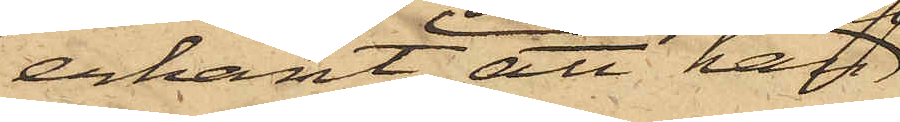erkänt, att han
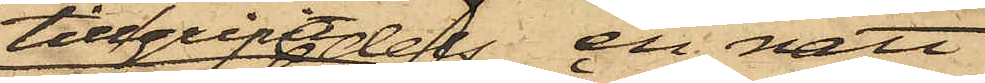tillgripit dels en natt
